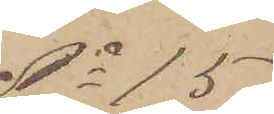No 15
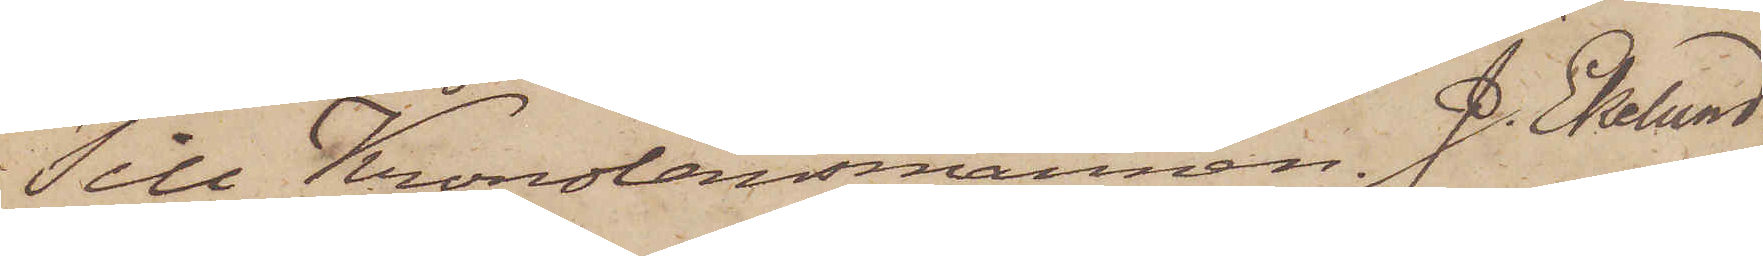Till Kronolänsmannen J. Eklund.
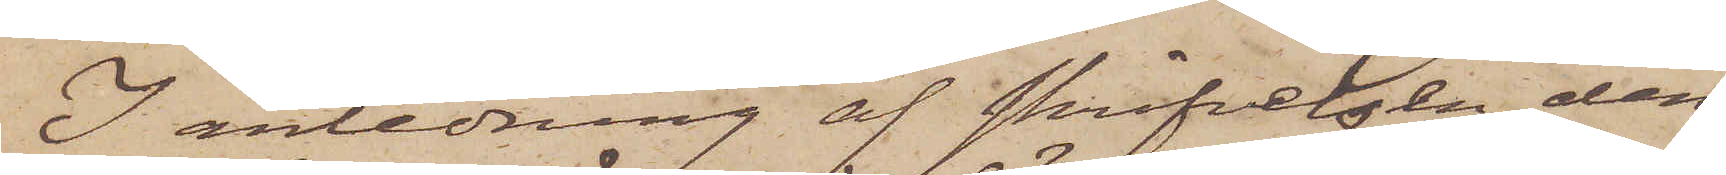I anledning af skrifvelsen den
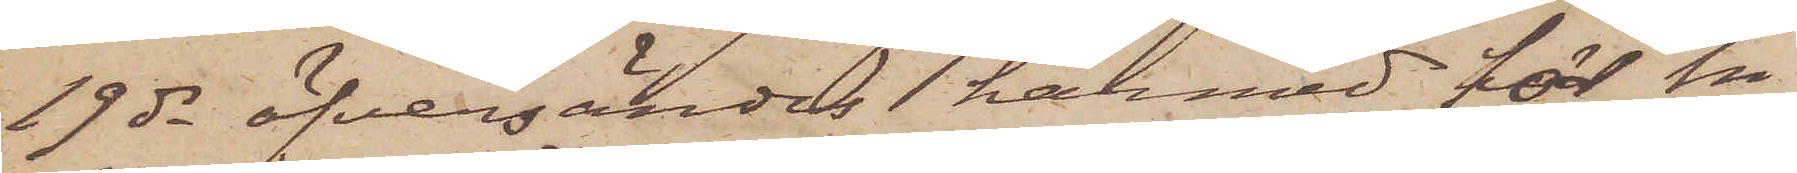19 ds öfversändes härmed för in¬
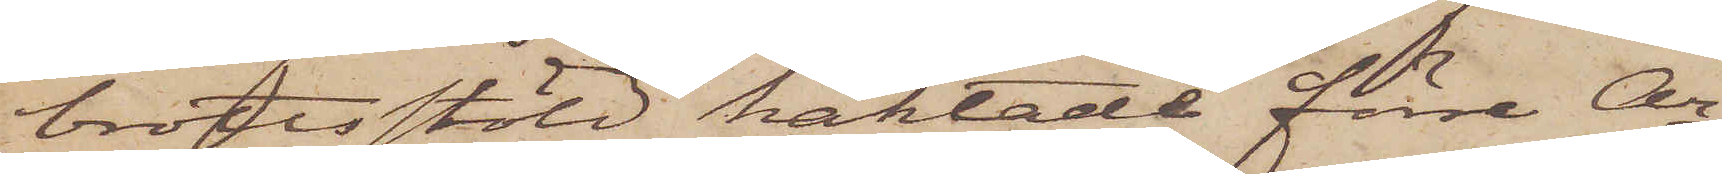brottsstöld häktade förre Ar¬
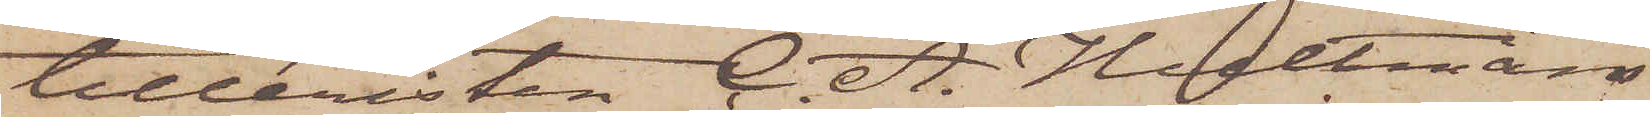tilleristen C. A. Hultmans
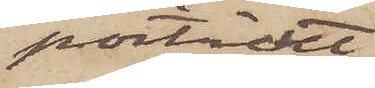porträtt
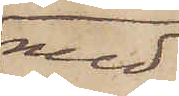med
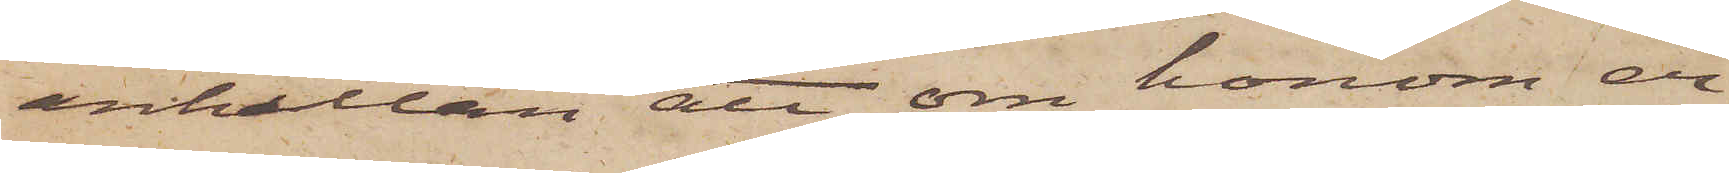anhållan att om honom er¬
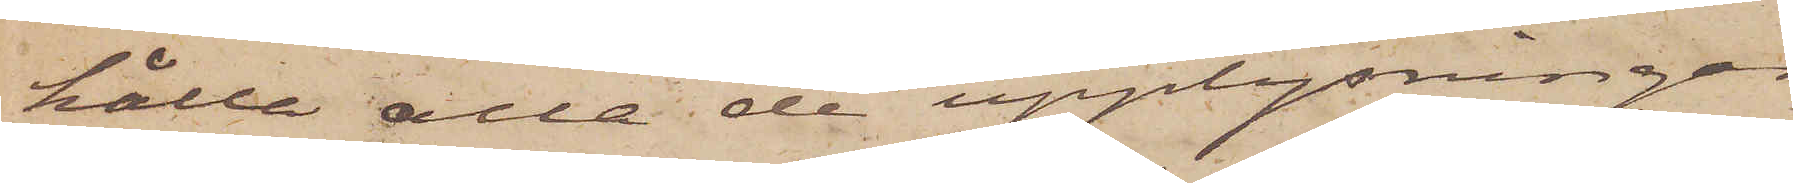hålla alla de upplysningar
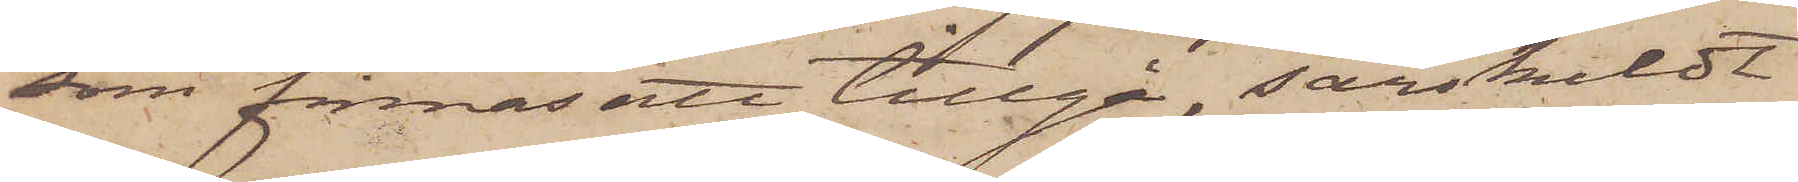som finnas att tillgå, särskildt
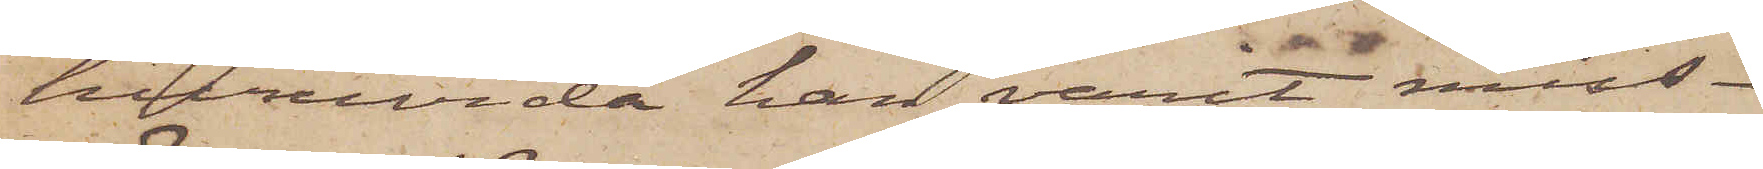huruvida han varit miss¬
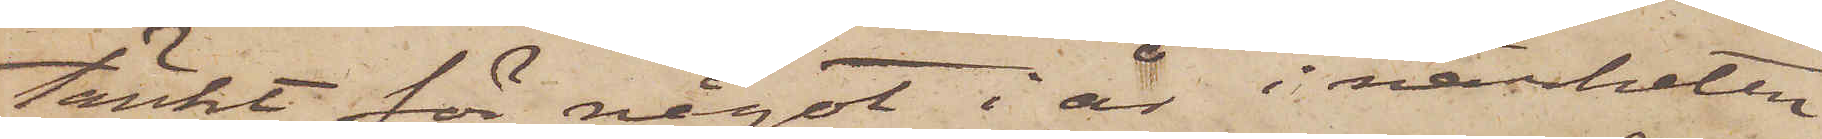tänkt för något i år i närheten
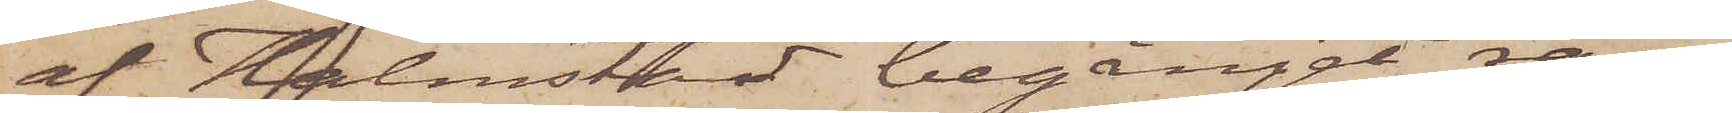af Halmstad begånget rån.
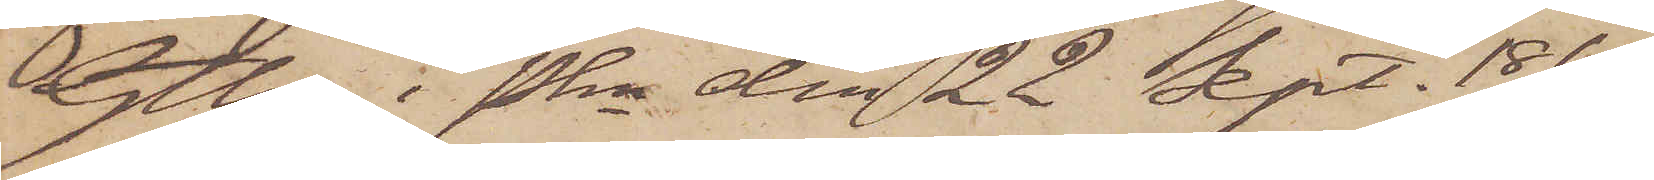Gtbg i Pkn den 22 Sept. 1869.
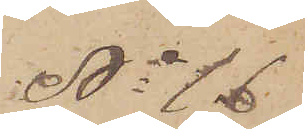No 16
